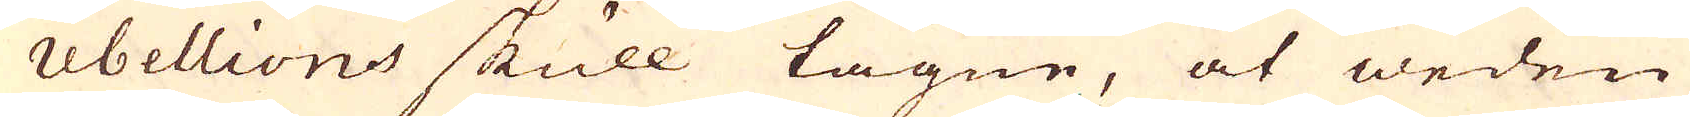rebellions skull tagne, at weden
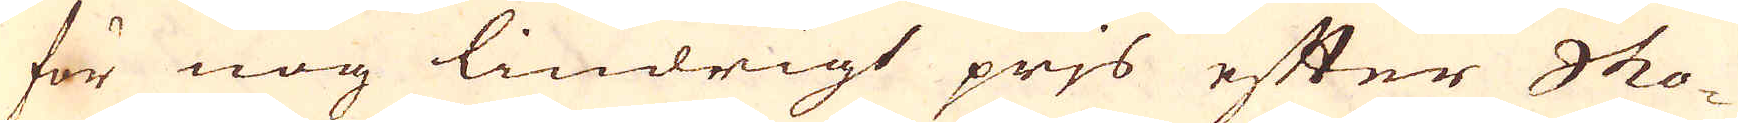för nog lindrigt prjs efter Sko-
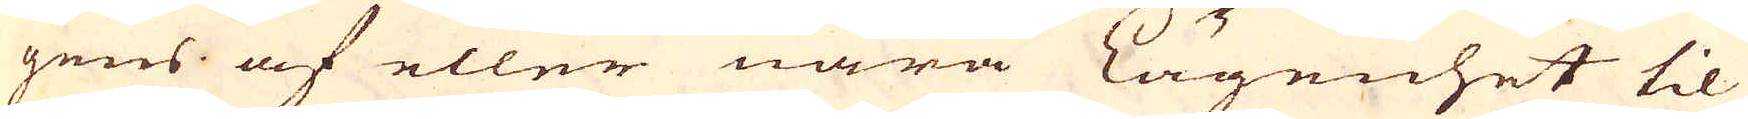gens af eller nära Lägenhet til
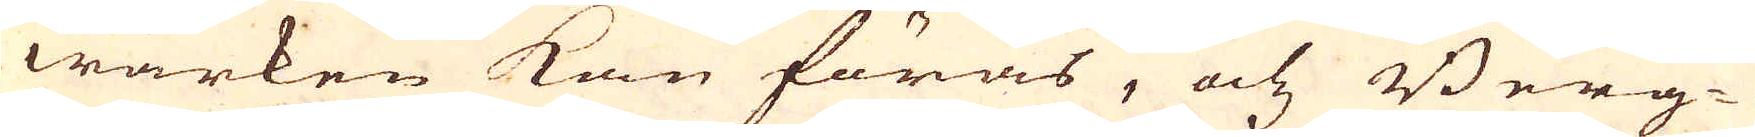wärken kan föras, och Berg-
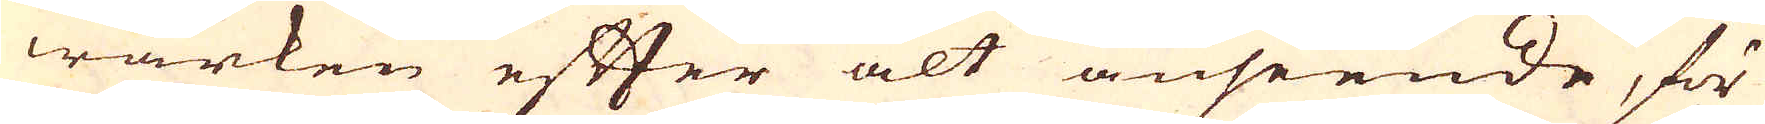wärken efter alt anseende, för
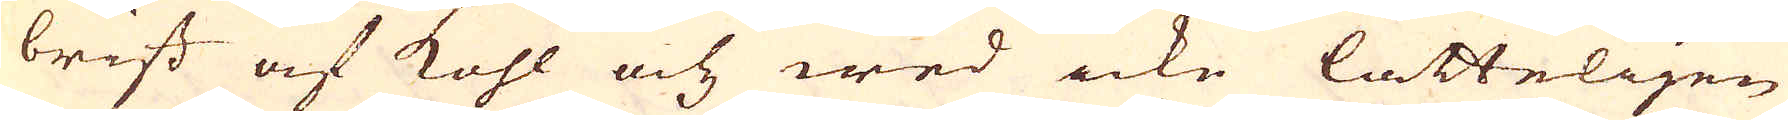brist af kohl och wed icke lätteligen
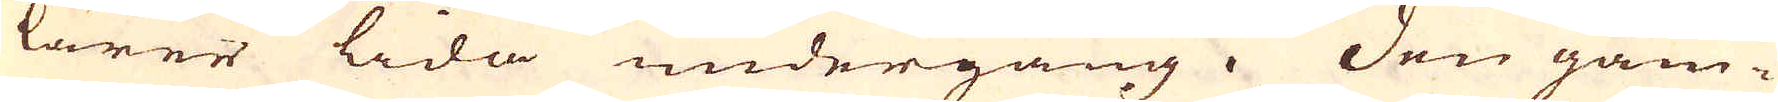lärer lida undergång. Den gam-
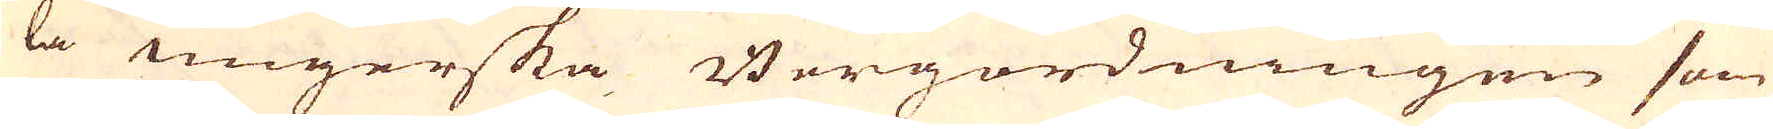la ungerska Bergordningen som
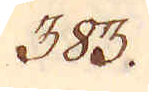383.
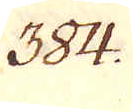384.
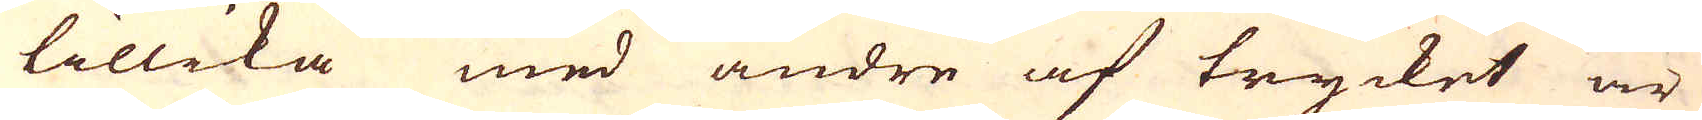tillika med andre af trycket är
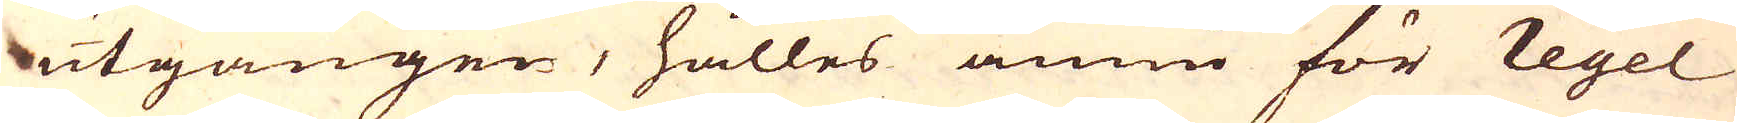utgången, hålles ännu för regel
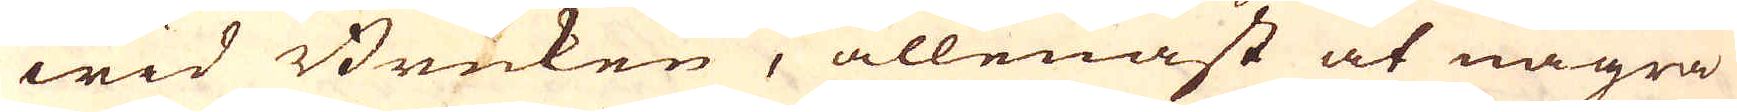wid Bruken, allenast at några
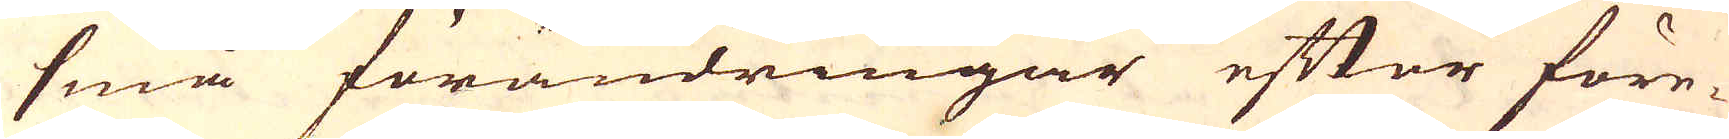små förändringar efter före-
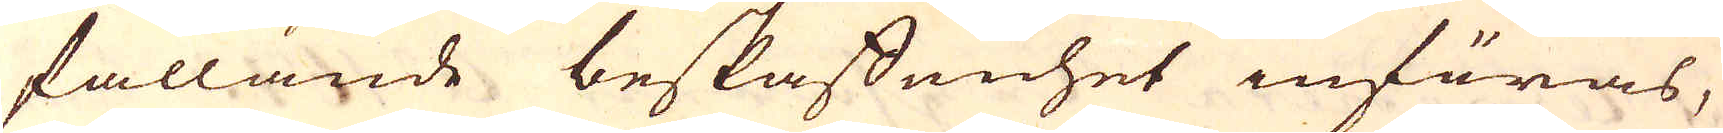fallande beskaffenhet införas,
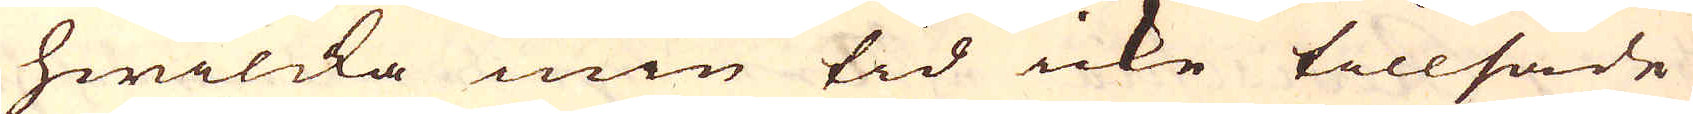hwilcka min tid icke tillsade
